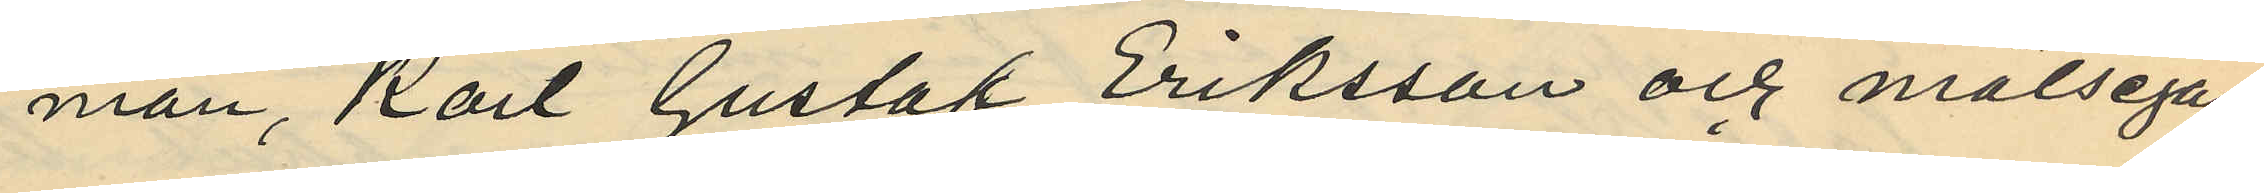man, Karl Gustaf Eriksson och målsegan¬
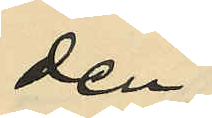den
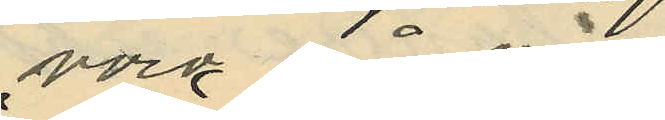varit på väg
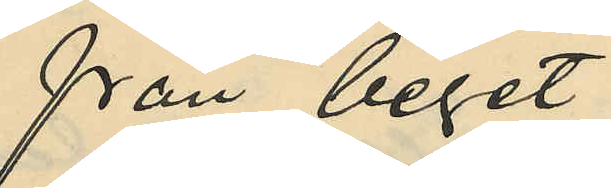från berget
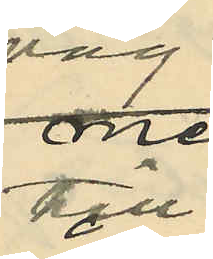till
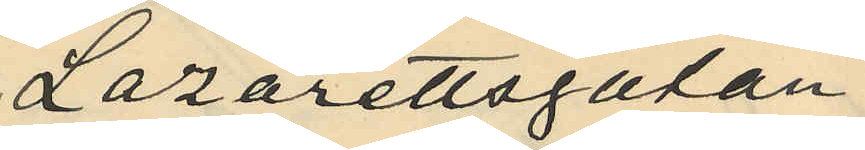Lazarettsgatan
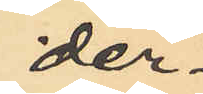der¬
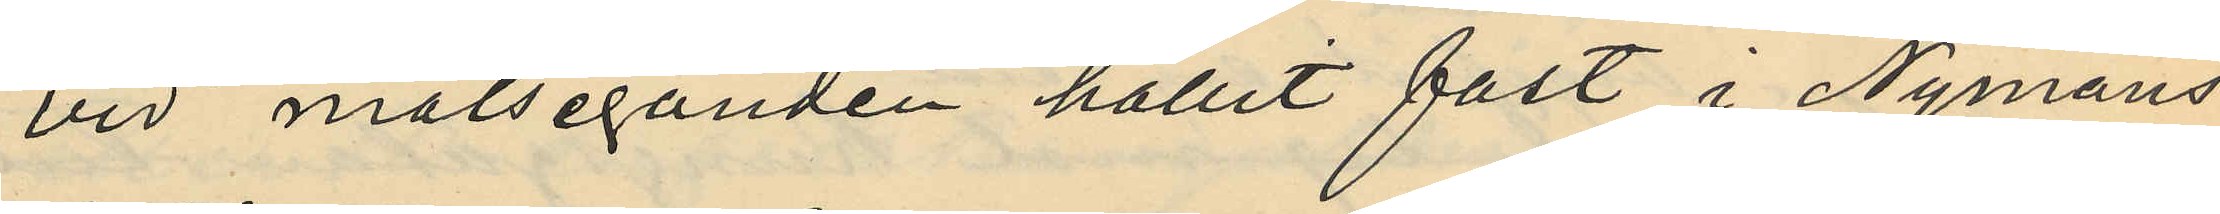vid målseganden hållit fast i Nymans
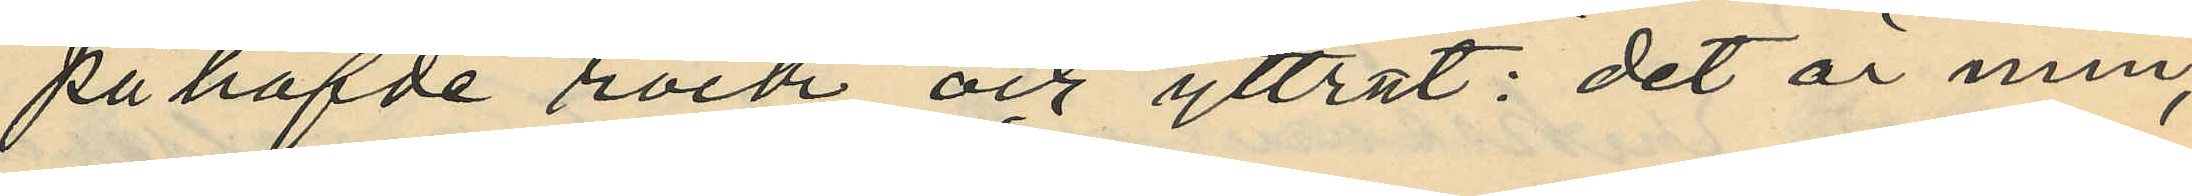påhafde rock och yttrat: "det är min,
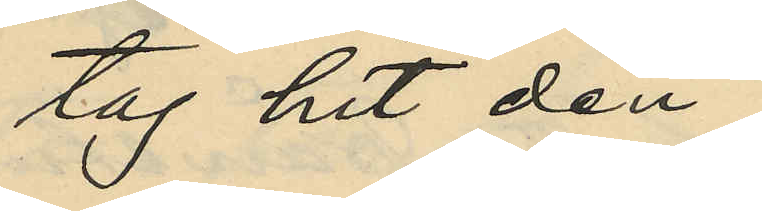tag hit den";
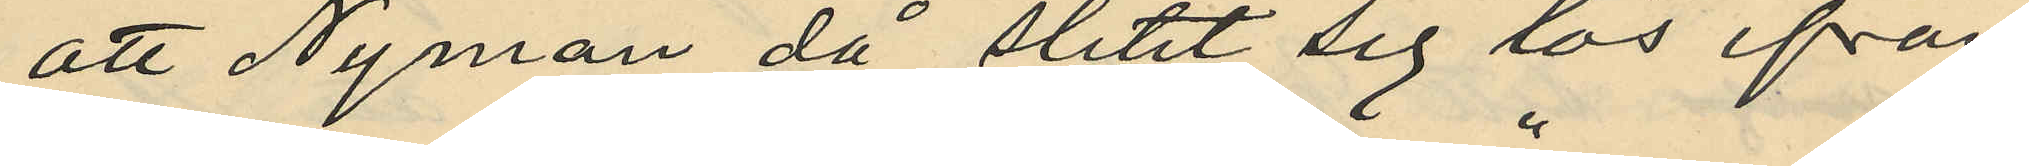att Nyman då slitit sig lös ifrån
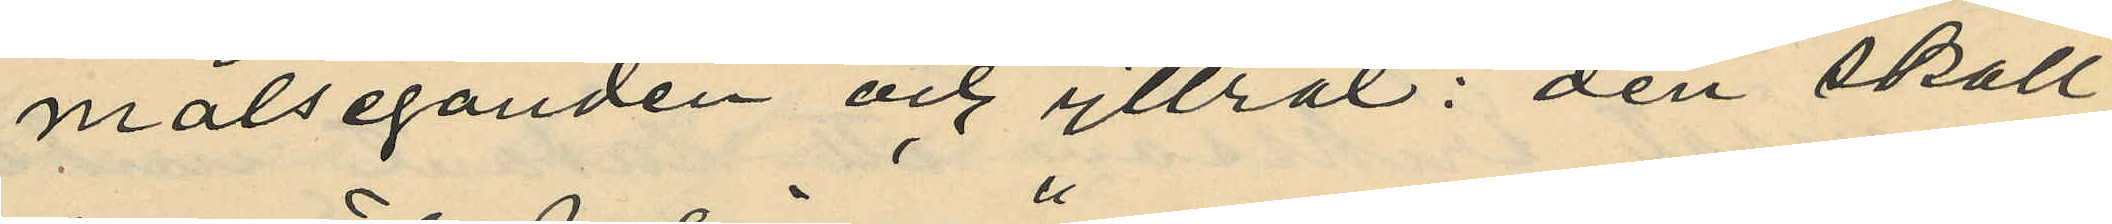målseganden och yttrat: "den skall
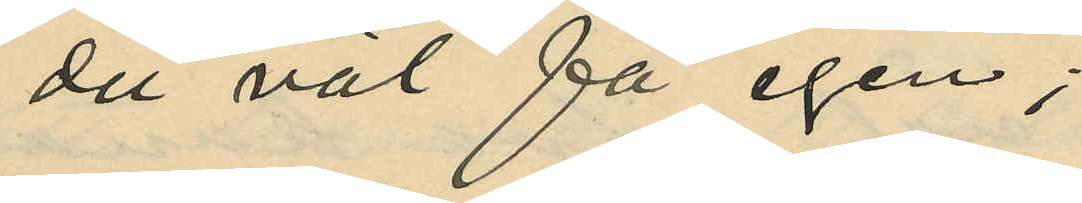du väl få igen";
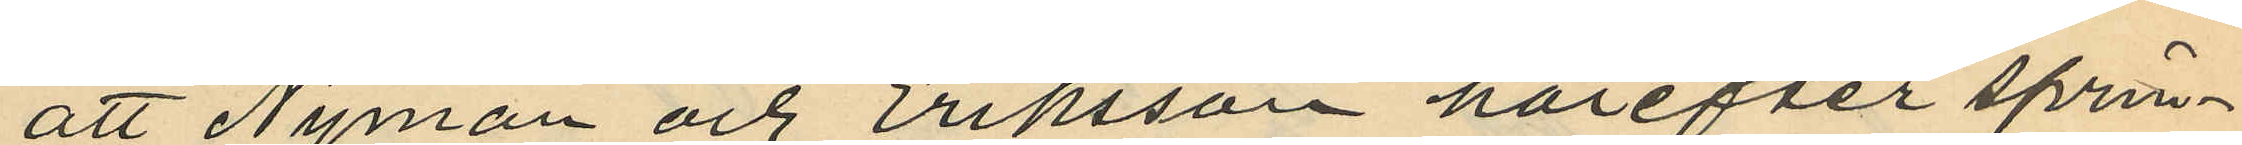att Nyman och Eriksson härefter sprin¬
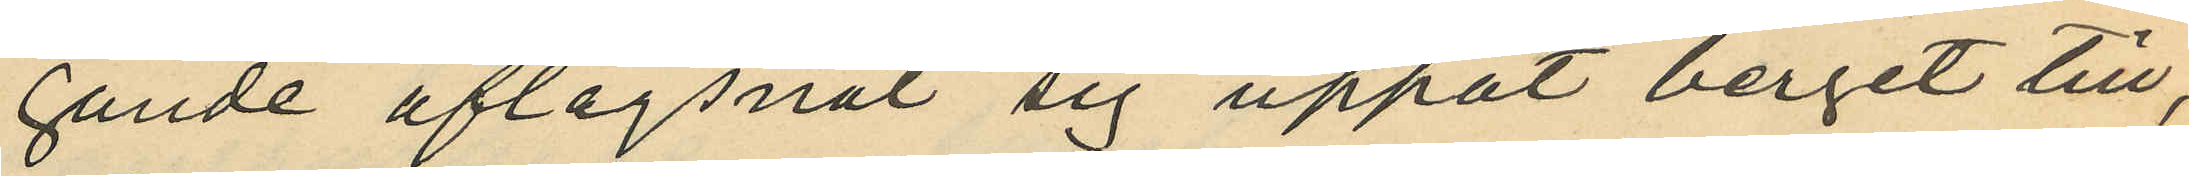gande aflägsnat sig uppåt berget till,
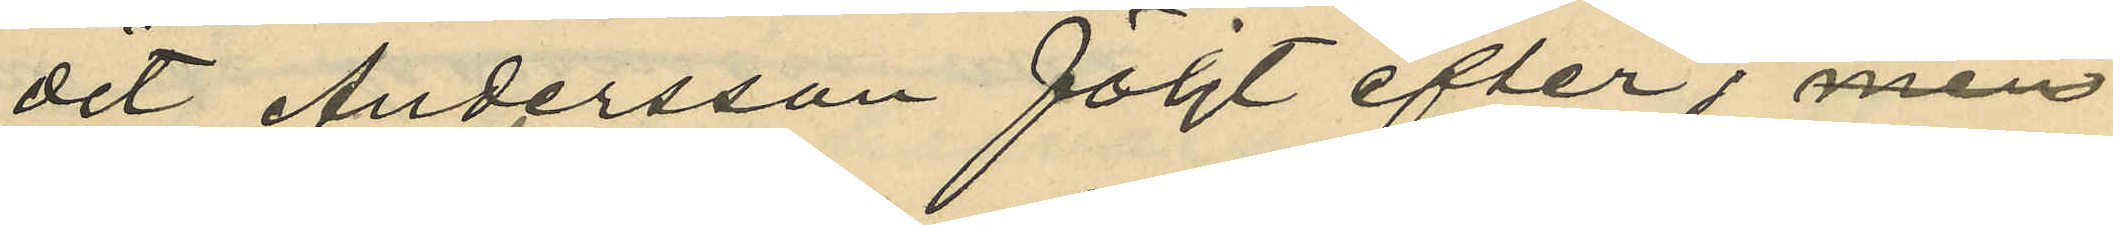det Andersson följt efter, men
